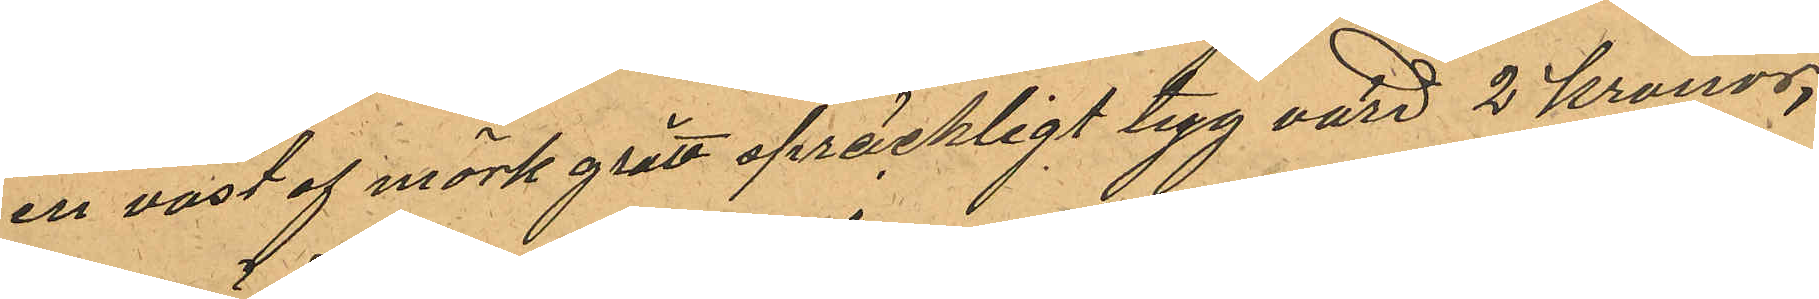en vast af mörkgrått spräckligt tyg värd 2 kronor,
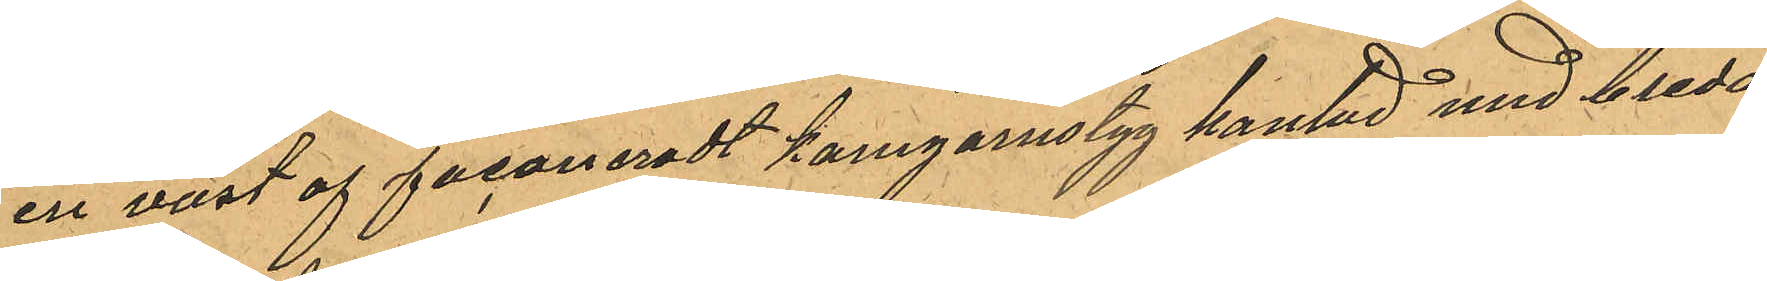en väst af faconeradt kamgarnstyg kantad med breda
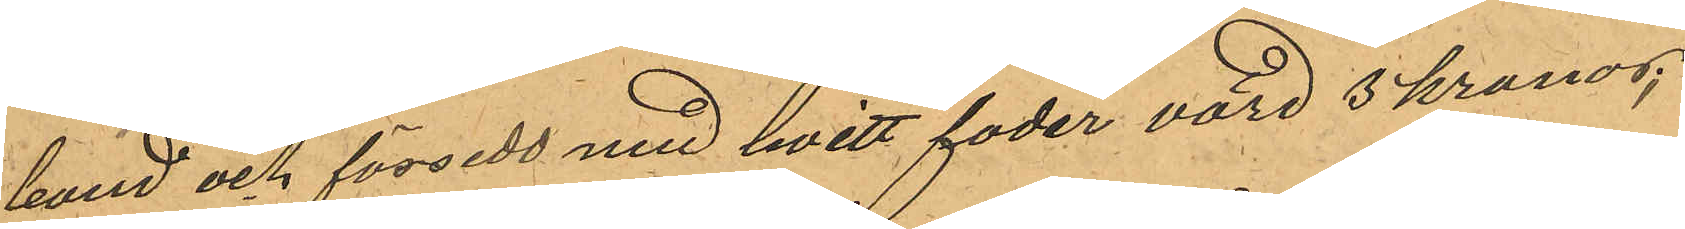band och försedd med hvitt foder värd 3 kronor;
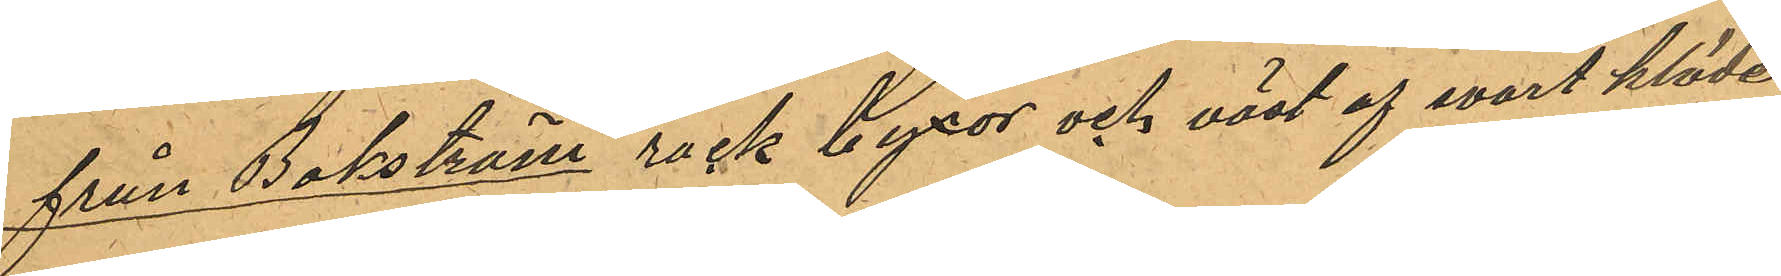från Bokström rock byxor och väst af svart kläde
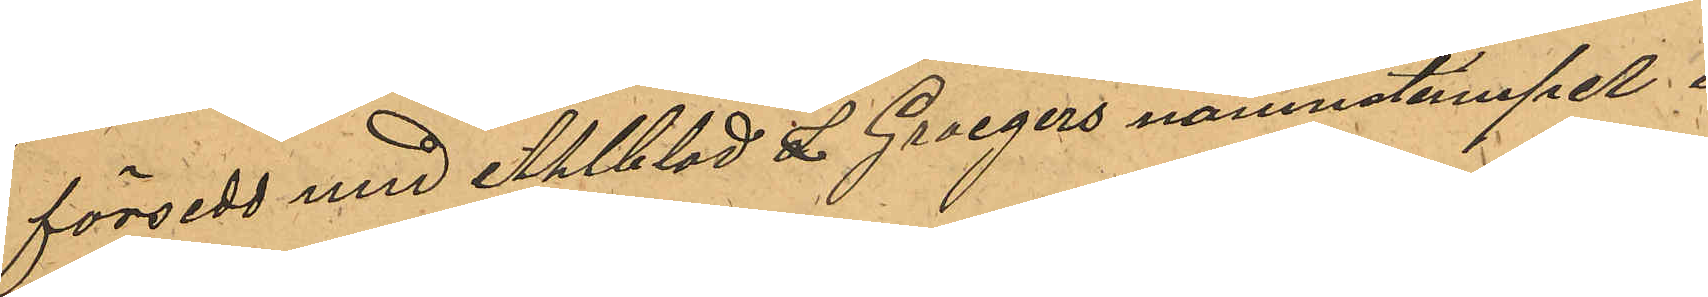försedd med Ahlblad & Groegers namnstämpel i
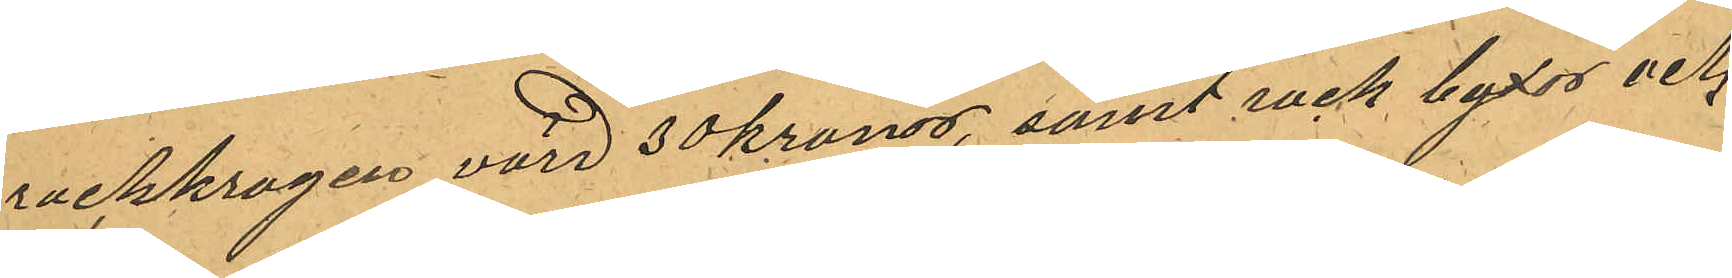rockkragen värd 30 kronor, samt rock byxor och
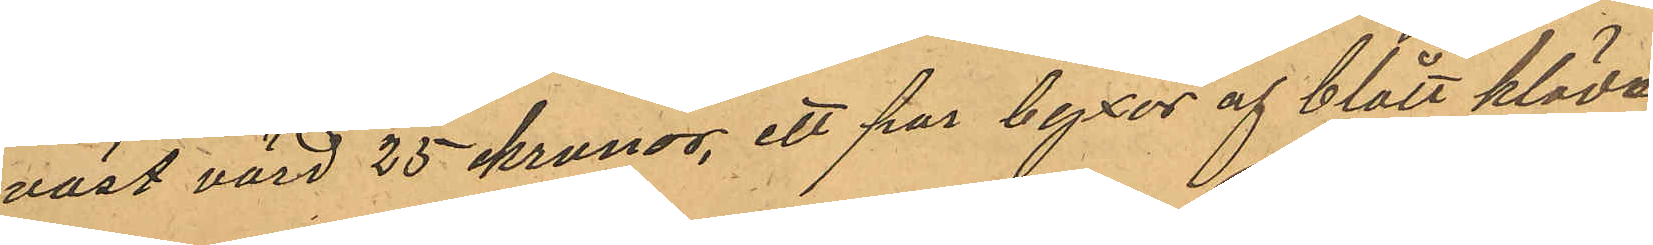väst värd 25 kronor, ett par byxor af blått kläde
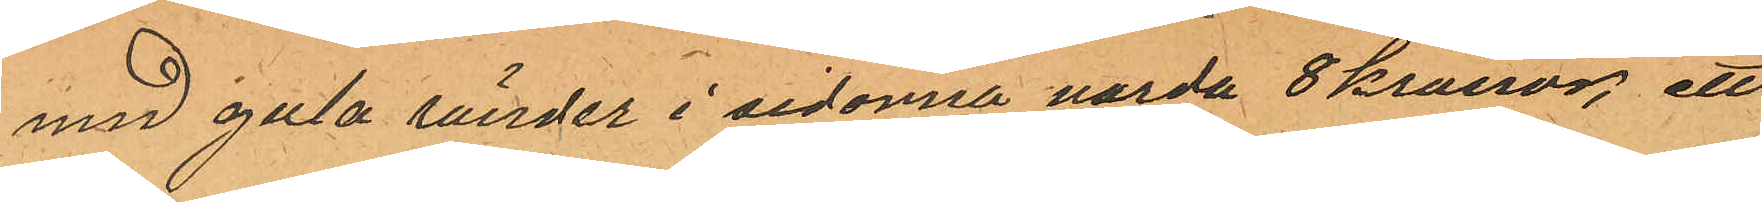med gula ränder i sidorna varda 8 kronor, ett
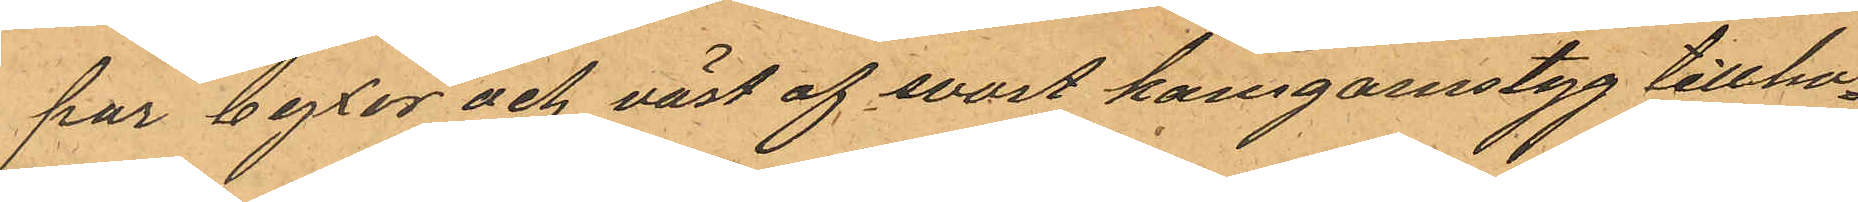par byxor och väst af svart kamgarnstyg tillho¬
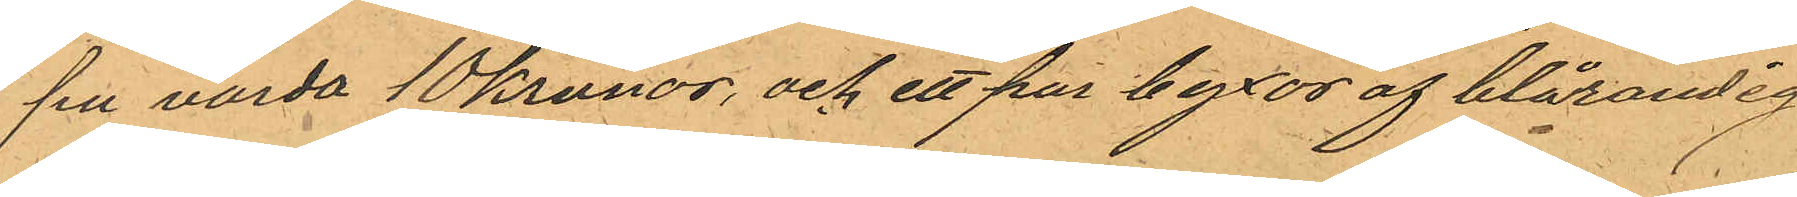pa varda 10 Kronor, och ett par byxor af blårandig
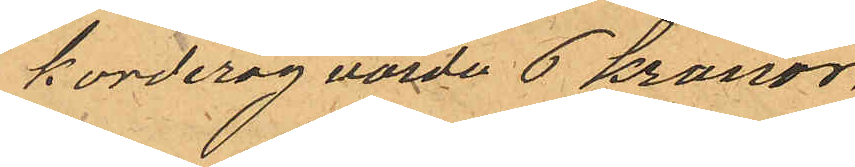korderoy värda 6 kronor,
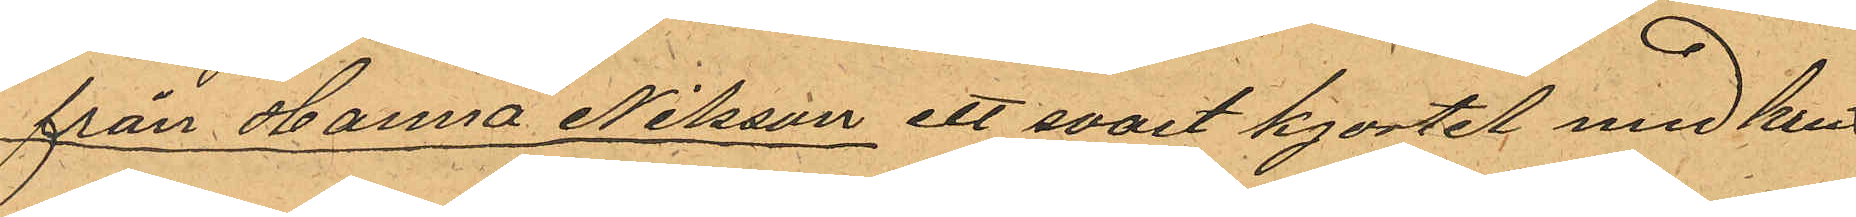från Hanna Nilsson ett svart kjortel med krus
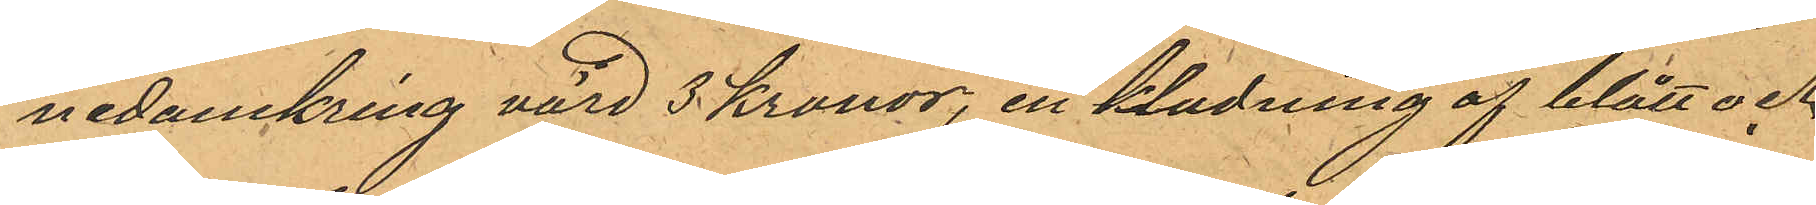nedanekring värd 3 Kronor, en kladning af blått och
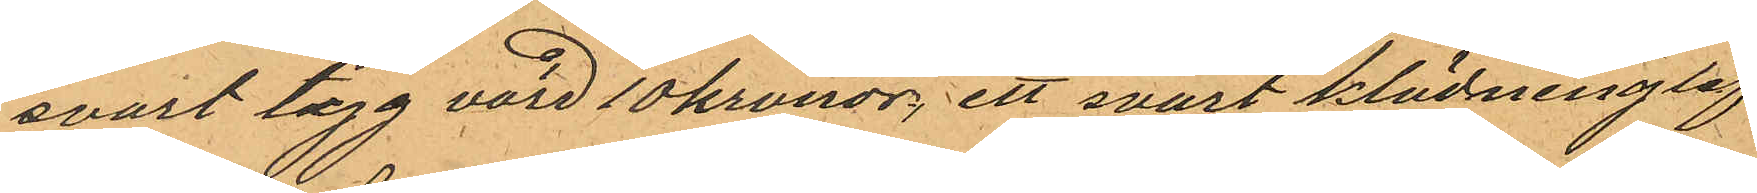svart tyg värd 10 kronor, ett svart klädninglif
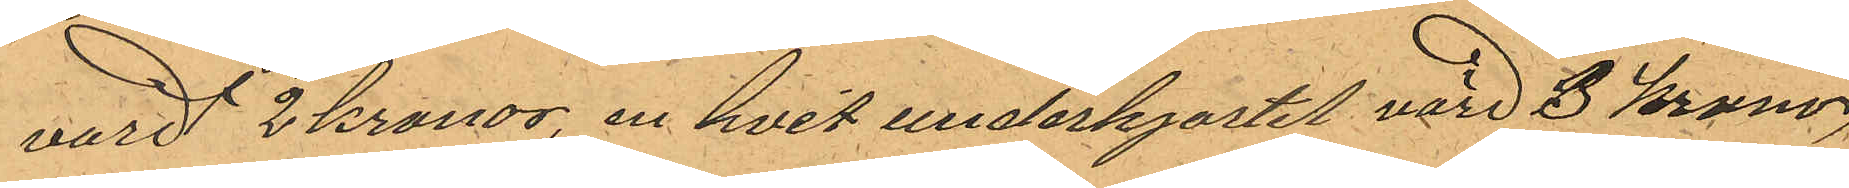värd 2 kronor, en hvit underkjortel värd 3 kronor,
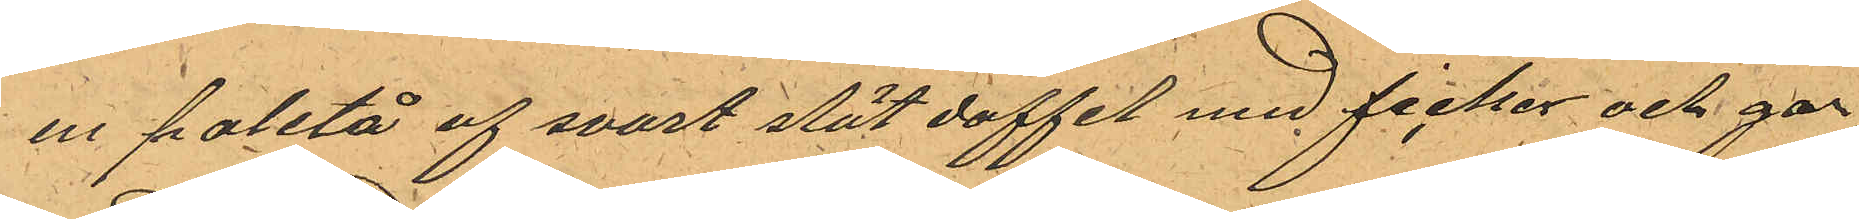en paletå af svart slät doffel med ficker och gar¬
